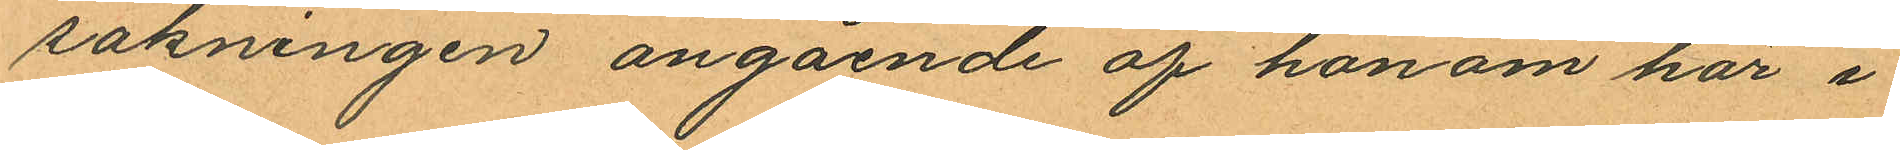sakningen angående af honom här i
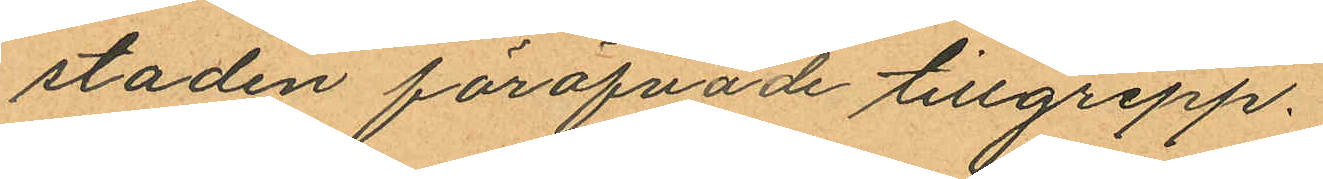staden föröfvade tillgrepp.
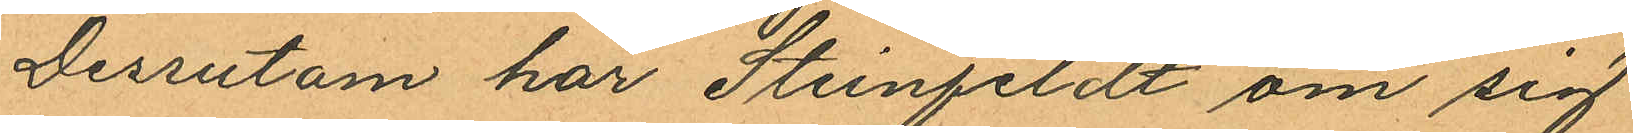Dessutom har Steinfeldt om sig
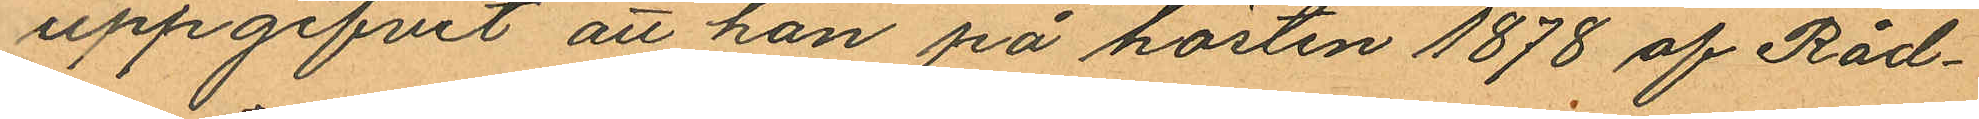uppgifvit att han på hösten 1878 af Råd¬
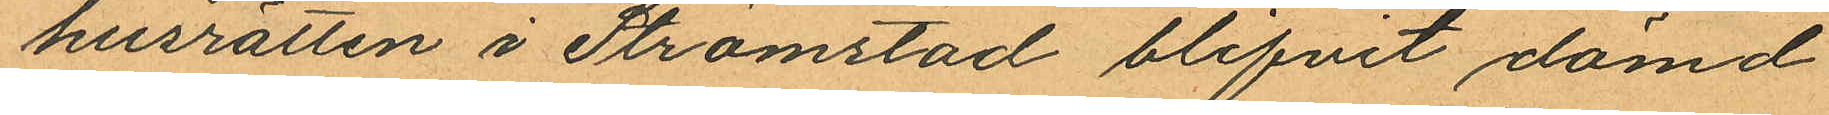husrätten i Strömstad blifvit dömd
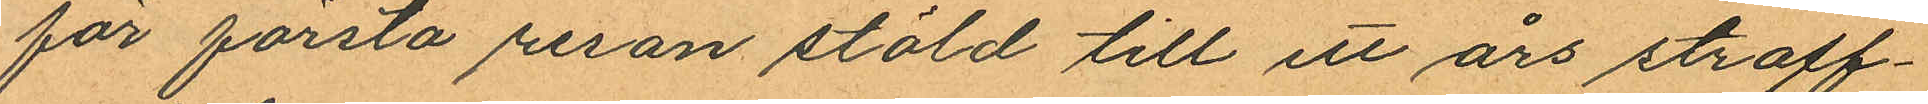för första resan stöld till ett års straff¬
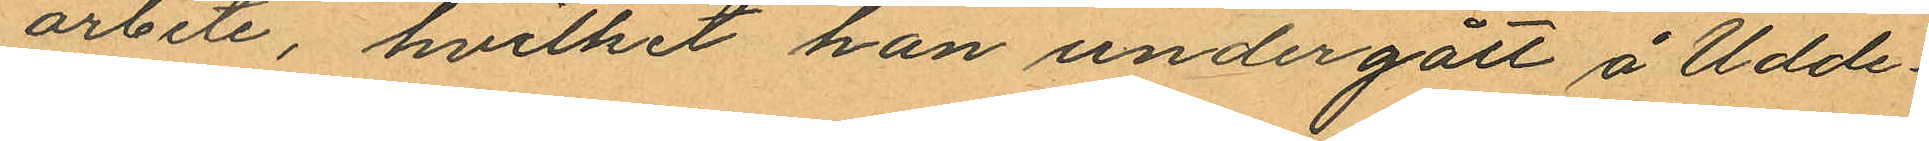arbete, hvilket han undergått å Udde¬
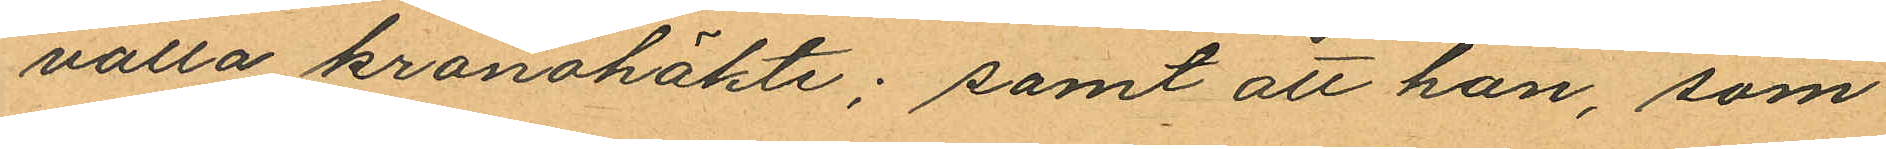valla kronohäkte; samt att han, som
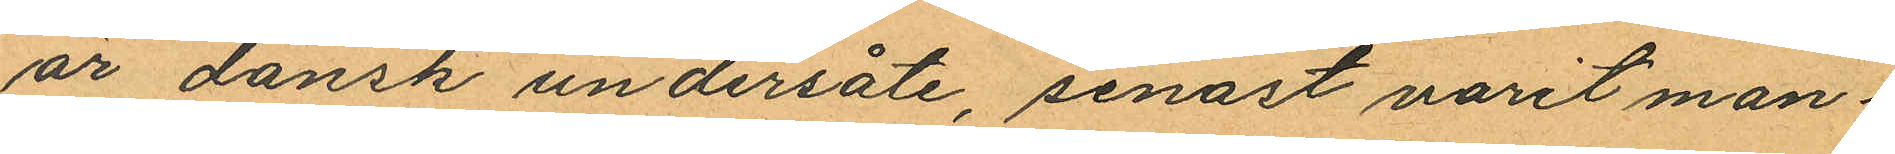är dansk undersåte, senast varit man¬
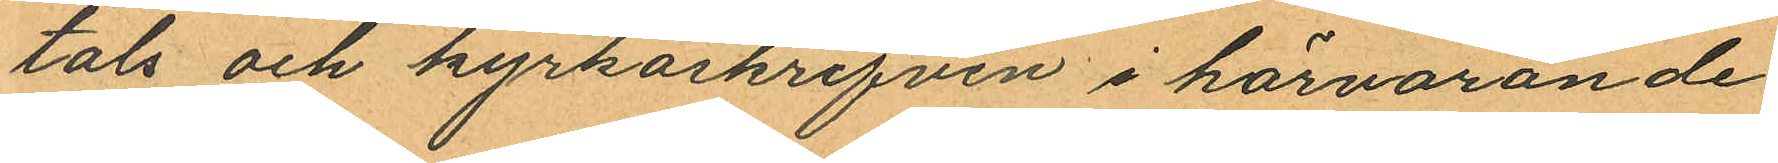tals och kyrkoskrifven i härvarande
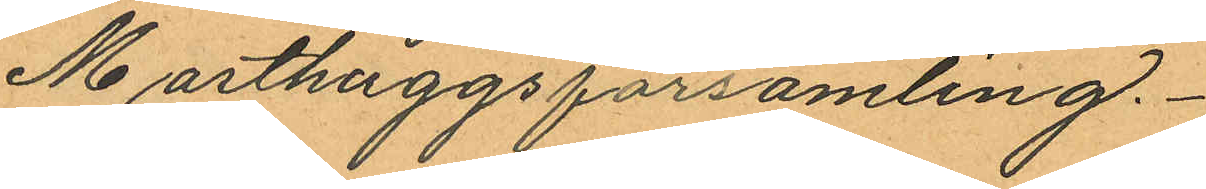Masthuggsförsamling.
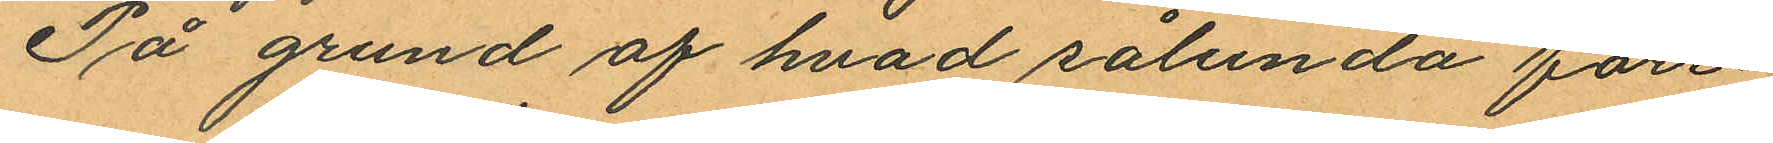På grund af hvad sålunda före¬
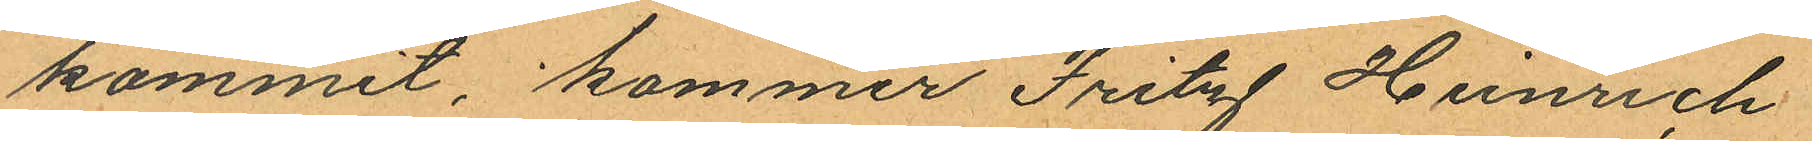kommit kommer Fritz Heinrich
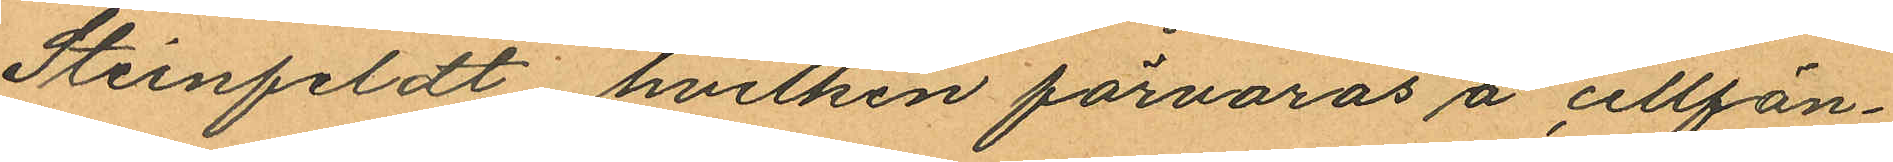Steinfeldt hvilken förvaras å cellfän¬
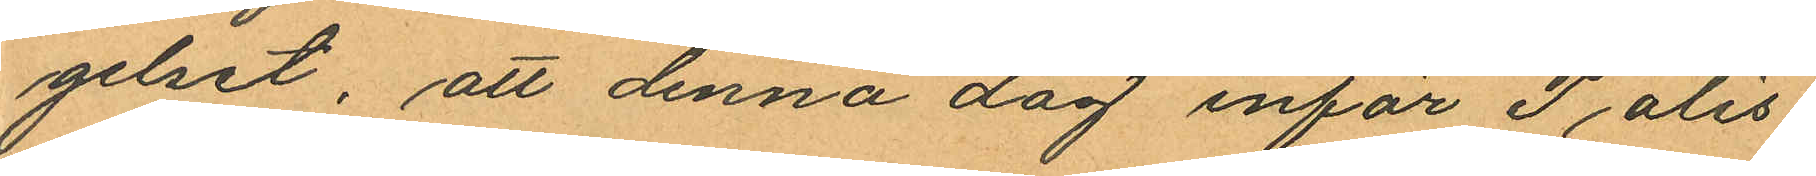gelset, att denna dag inför Polis¬
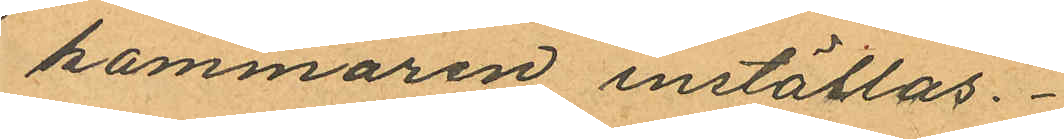kammaren inställas.
